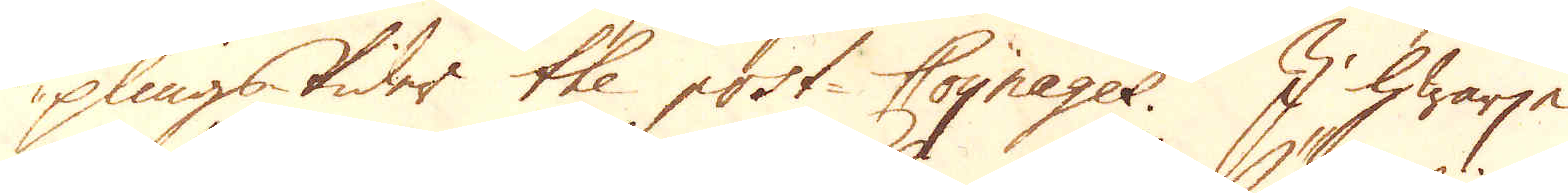plingstider the post Coynages. I hwarje
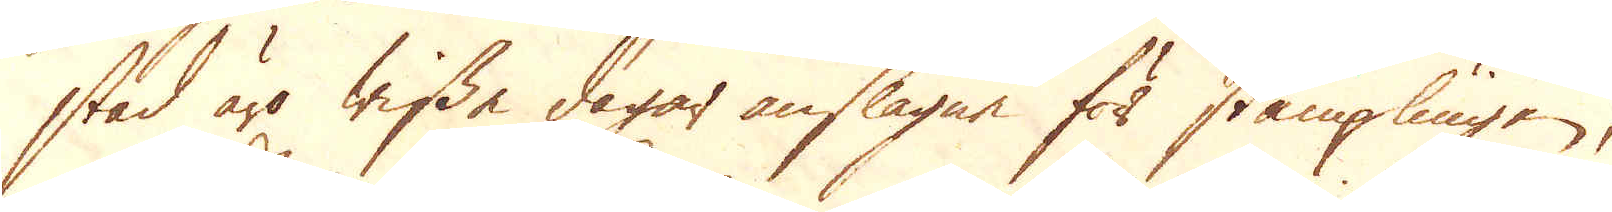stad äro wissa dagar anslagne för stämplingen,
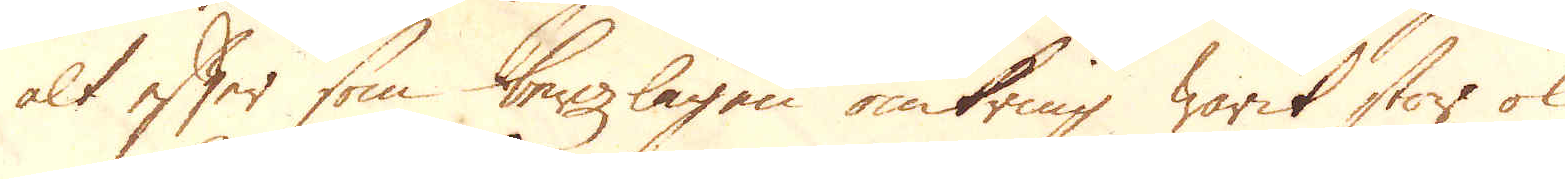alt efter som bergzlagen omkring warit stor ok
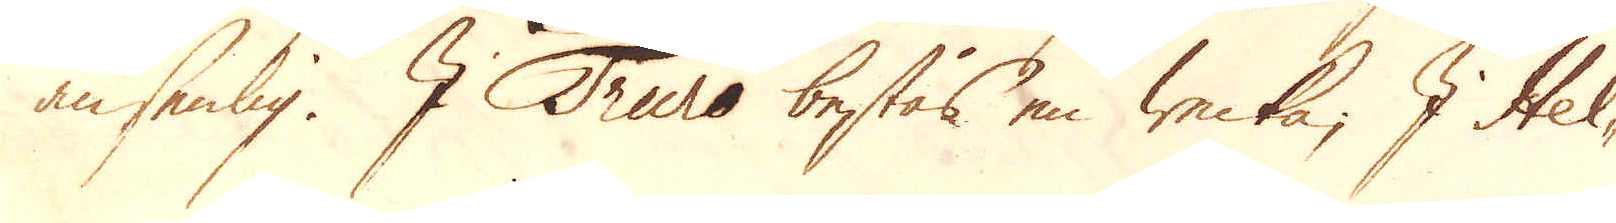ansenlig. I Truro bestås en wecka; I Hel-
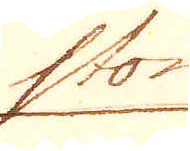ston
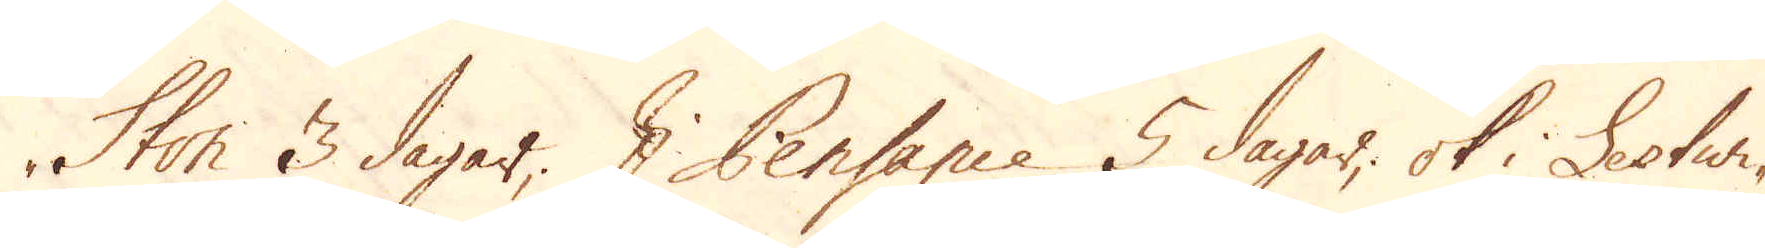ston 3 dagar. I Pensance 5 dagar, ok i Lestwi-
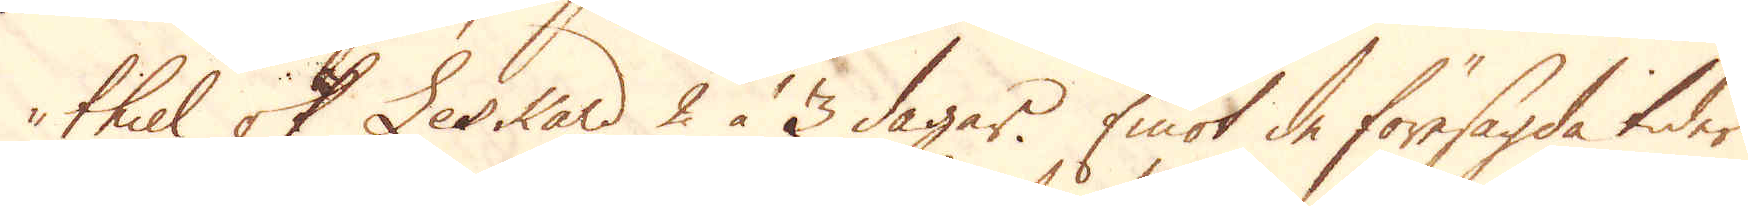thiel ok Leskard 2 à 3 dagar. Emot de föresagda tider
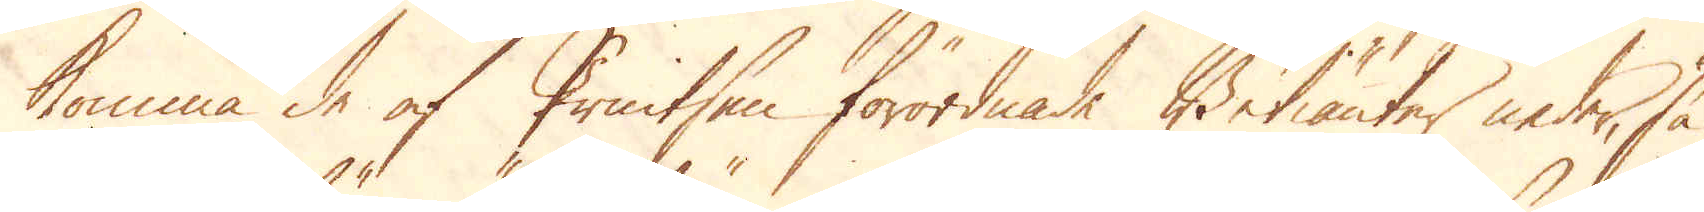komma de af Printsen förordnade Betiänter neder, så
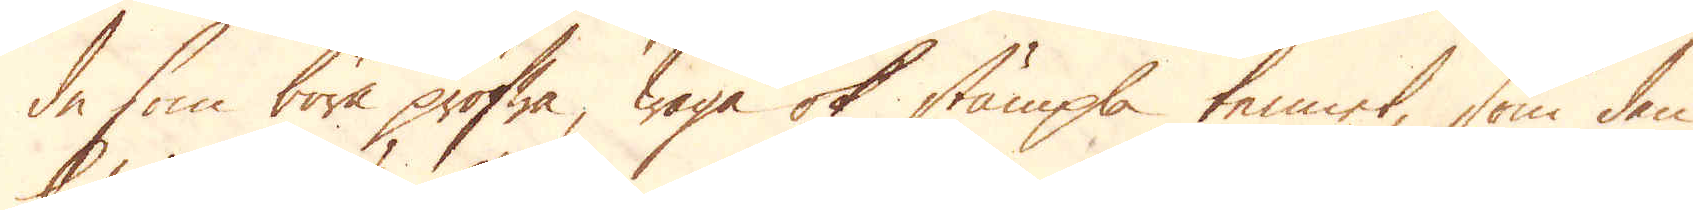de som böra profwa, waga ok stämpla tennet, som den
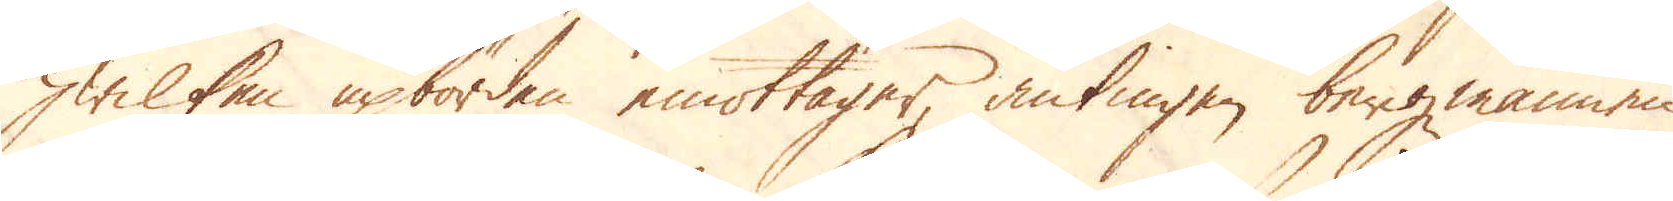hwilken upbörden emottager, antingen bergmannen
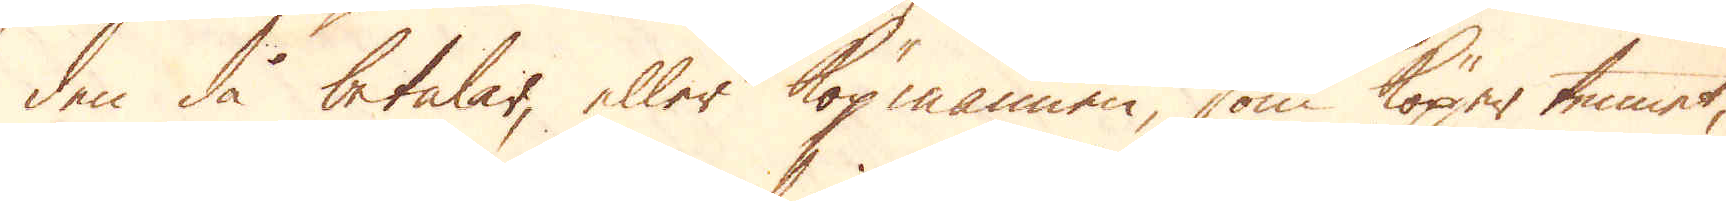den då betalar, eller köpmannen, som köper tennet,
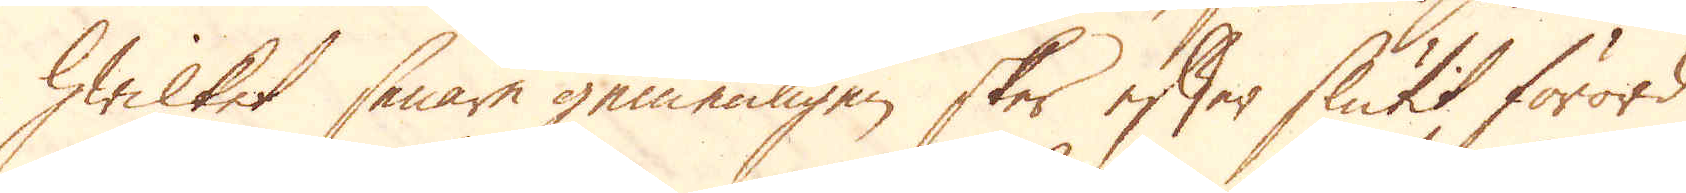hwilket senare gemenligen sker efter slutit förord
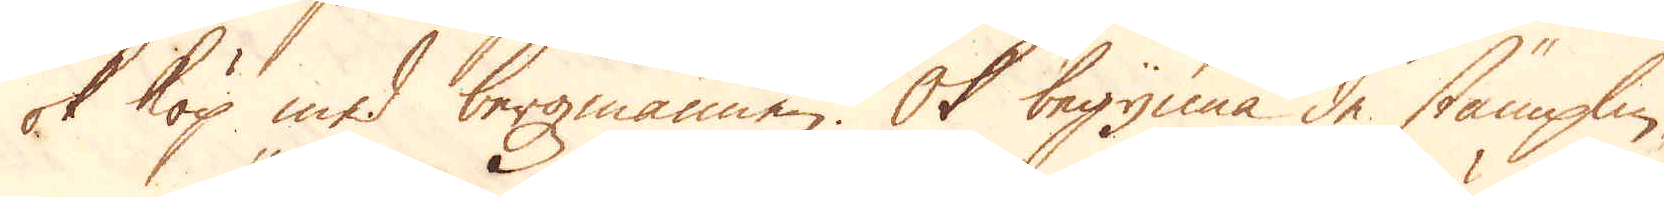ok köp med bergmannen. Ok begynna de stämplin-
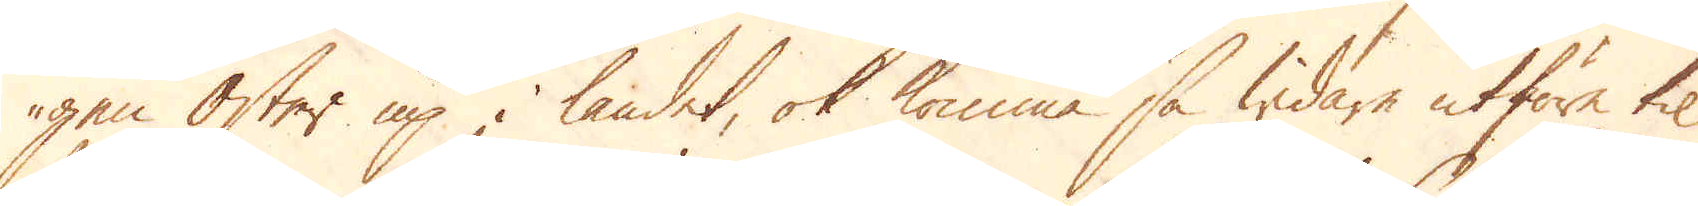gen Öster up i landet, ok komma så widare utföre til
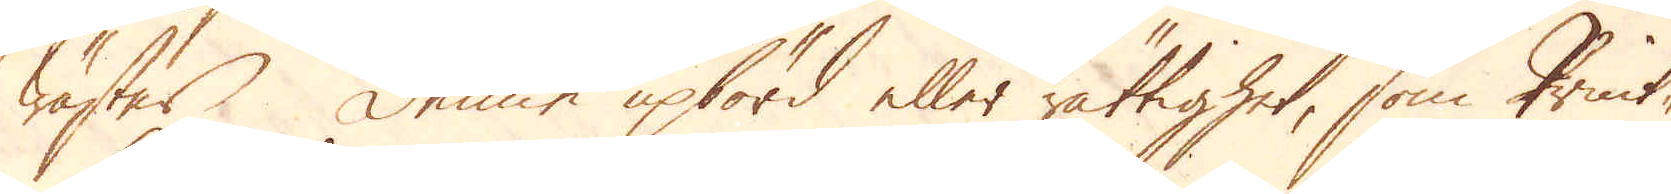wäster. Denne upbörd eller rättighet, som Print-
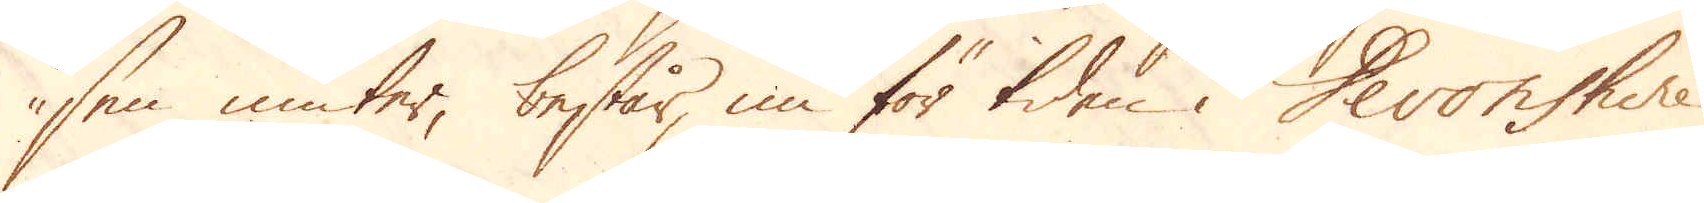sen niuter, består nu för tiden i Devonshire
